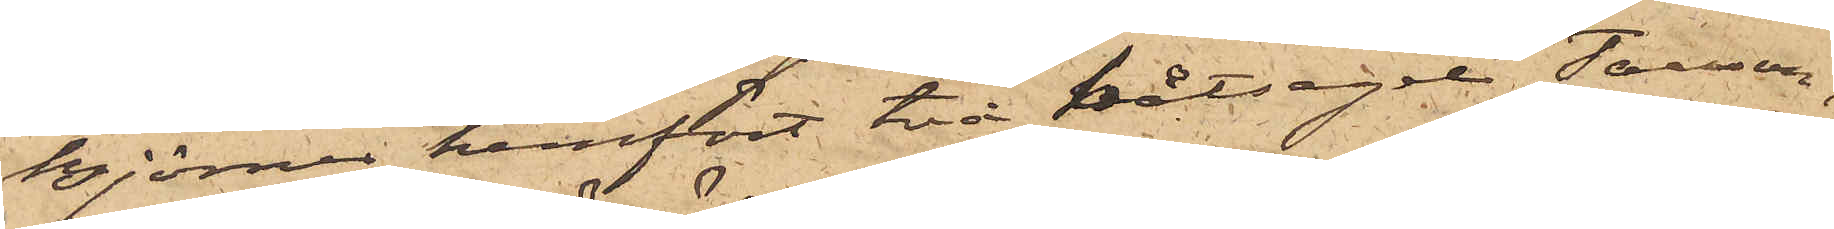Björner hemfört två båtsegel Tausson,
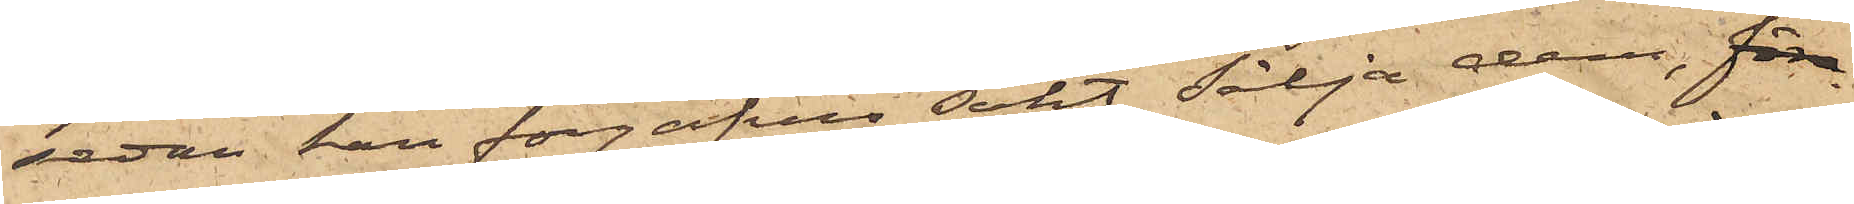sedan han förgäfves sökt sälja dem, före
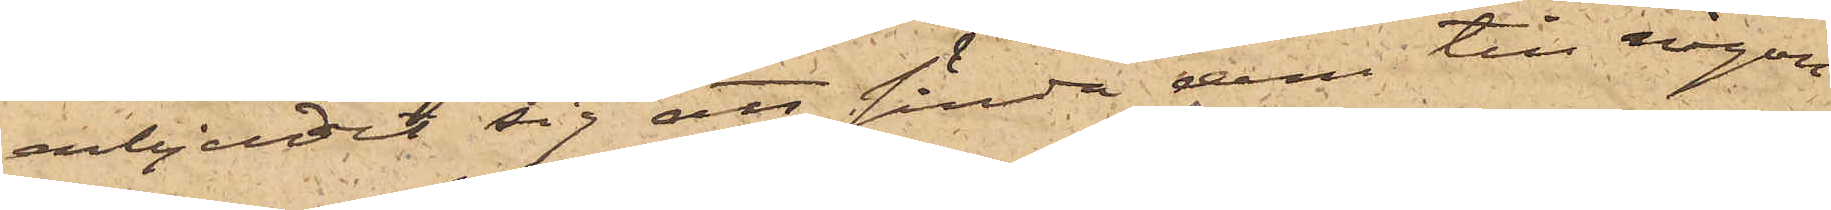erbjudit sig att sända dem till någon
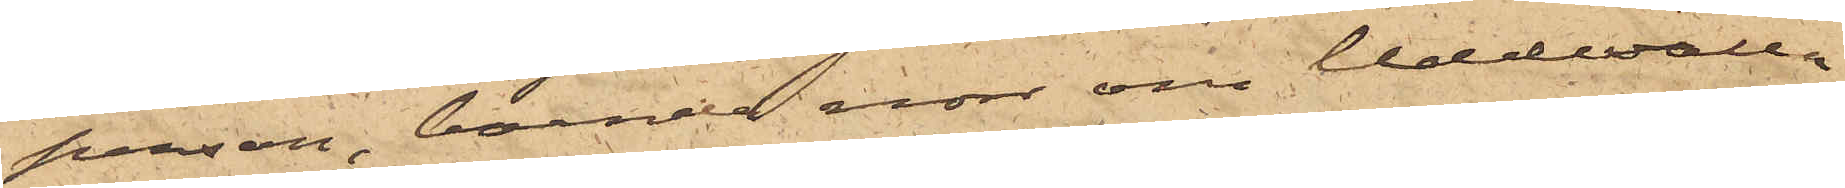person, boende norr om Uddevalla
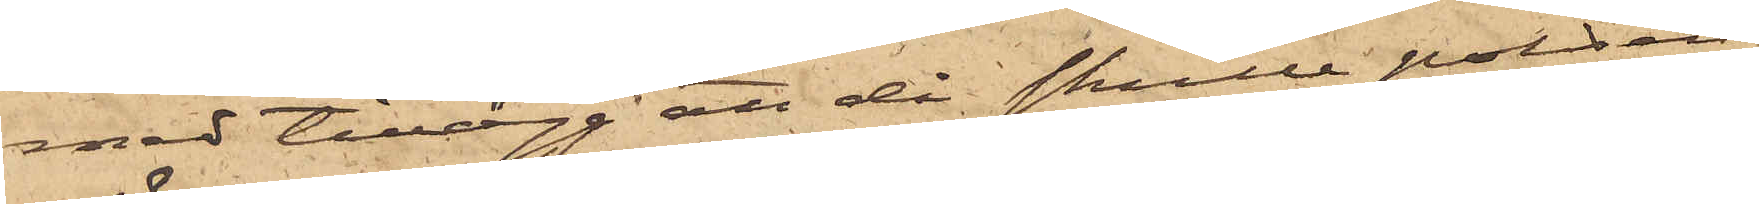med tillägg att då skulle polisen
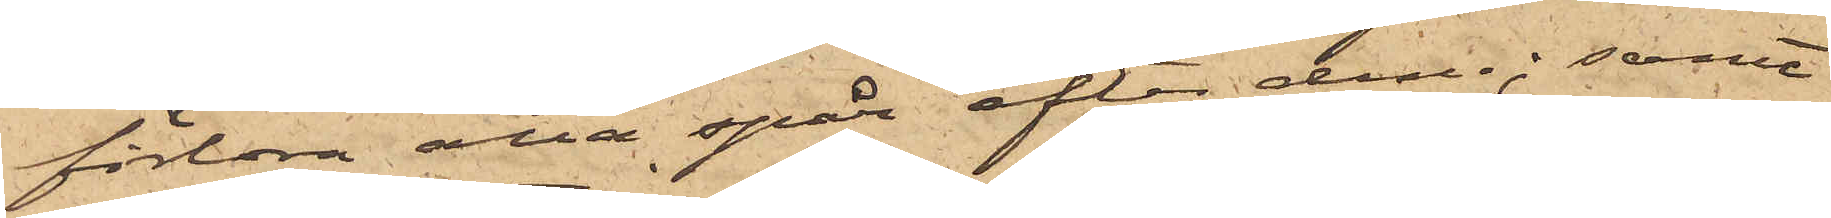förlora alla spår efter dem; samt
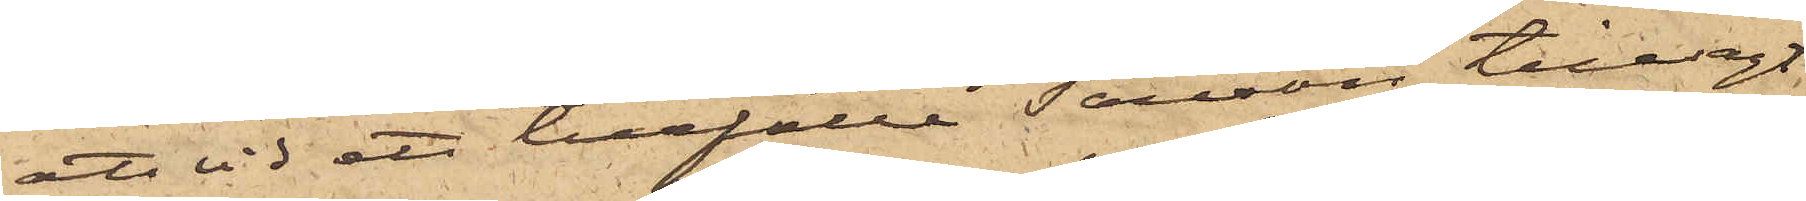att vid ett tillfälle Tausson tillsagt
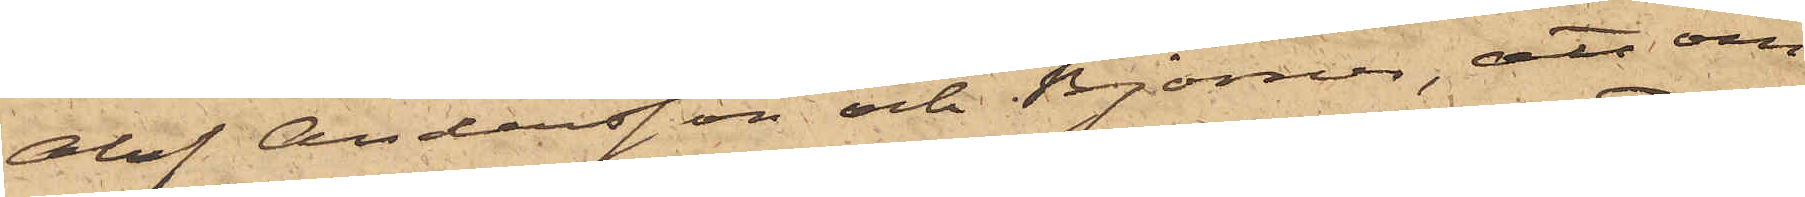Olof Andersson och Björner, att om
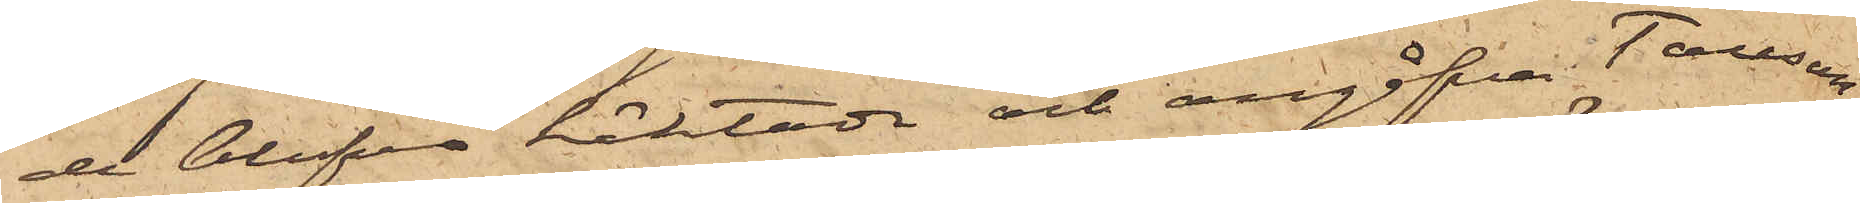de blefvo häktade och angåfvo Tausson,
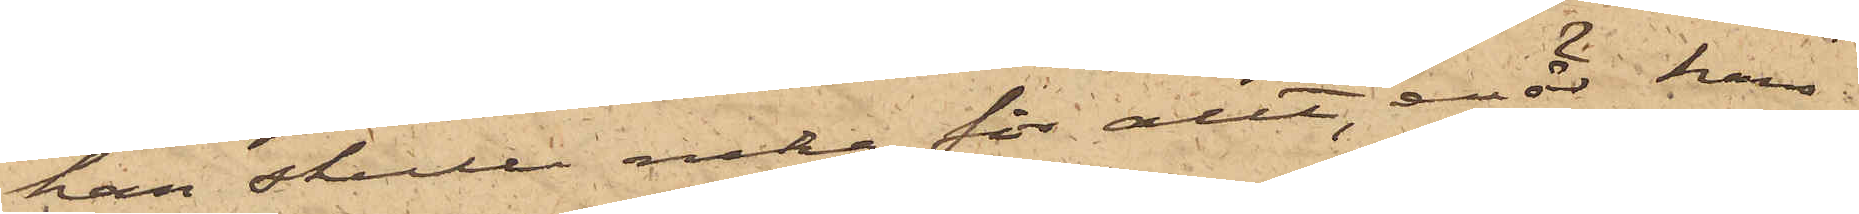han skulle neka för allt, enär hans
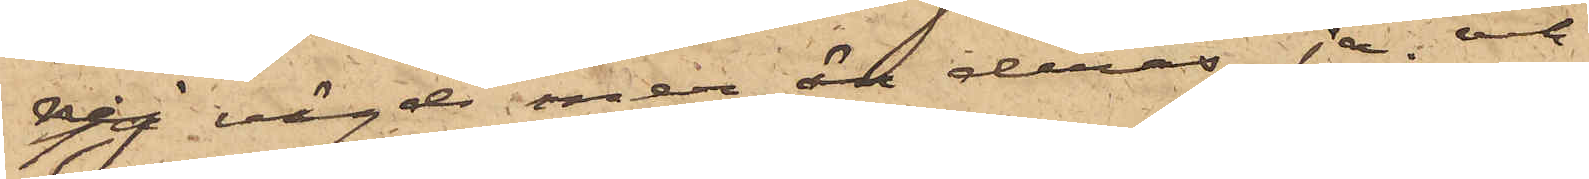nej vägde mer än deras ja; och
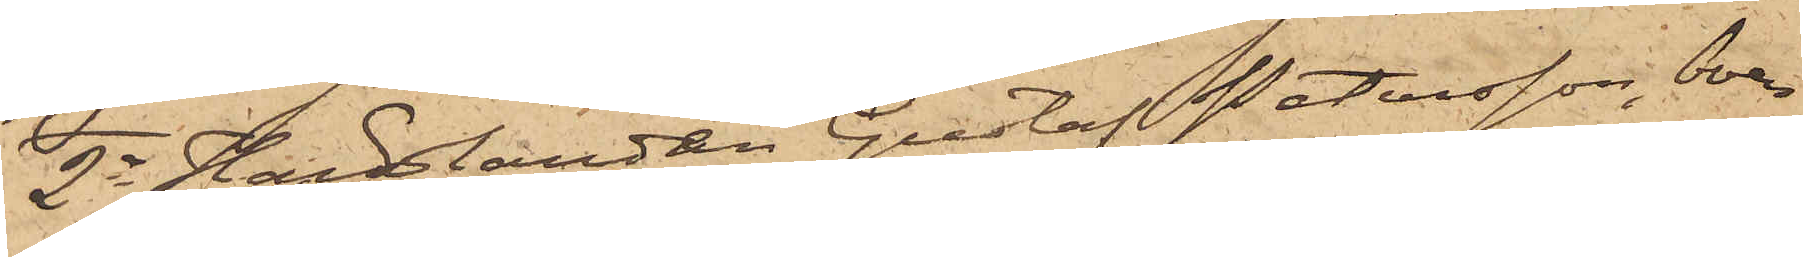2o Handlanden Gustaf Petersson, boen¬
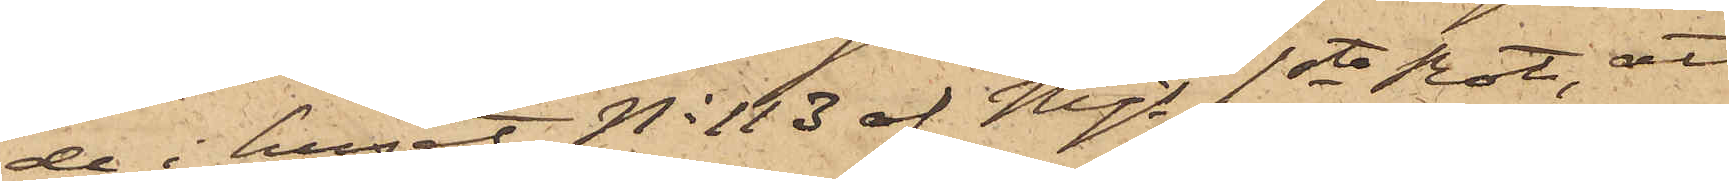de i huset No 113 af Mjs 1ste Rote, att
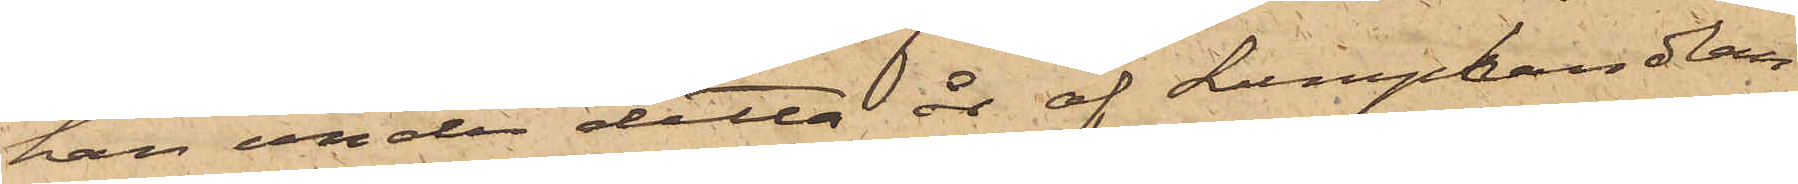han under detta år af Lumphandlan¬
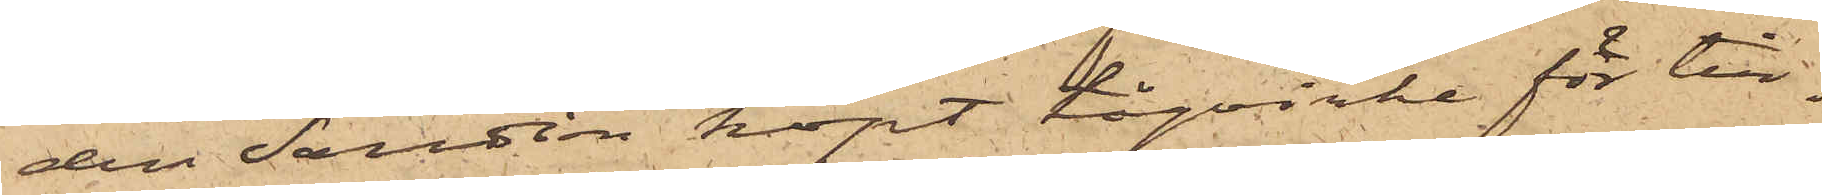den Sandin köpt tågvirke för till¬
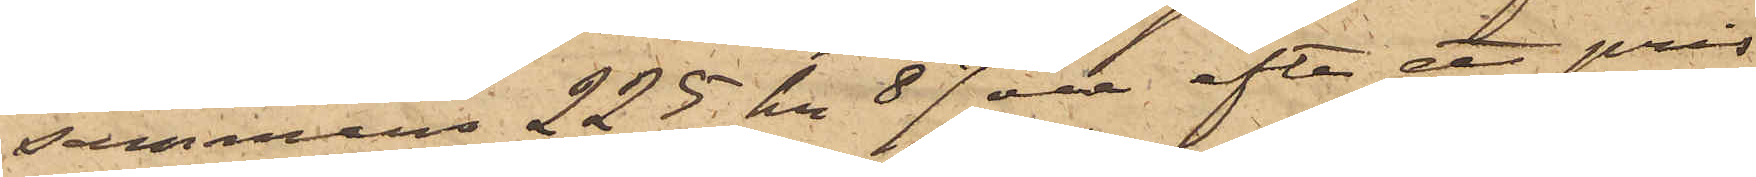sammans 225 kr 87 öre, efter ett pris
